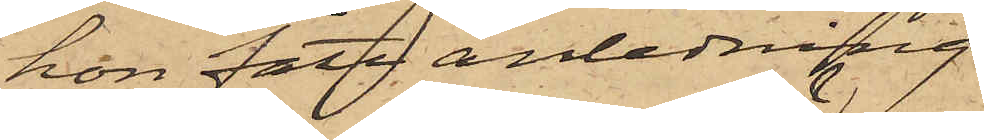hon fått anledning
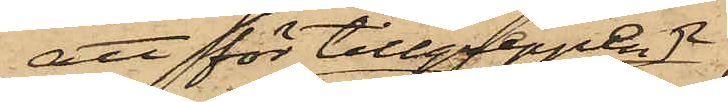att för tillgreppen
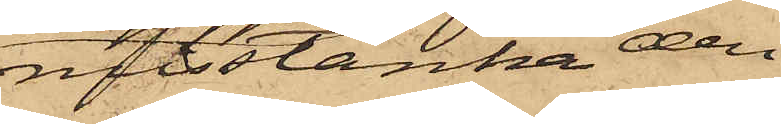misstänka den
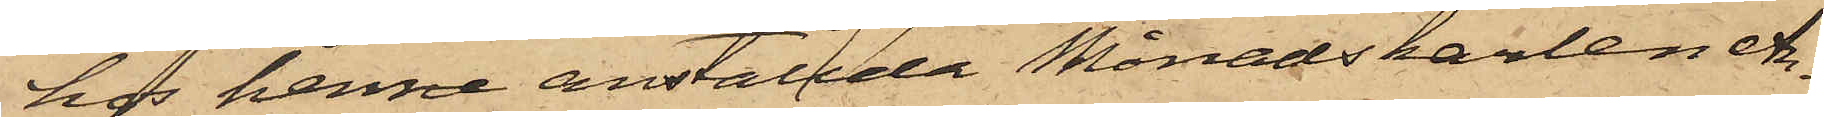hos henne anställde Månadskarlen An¬
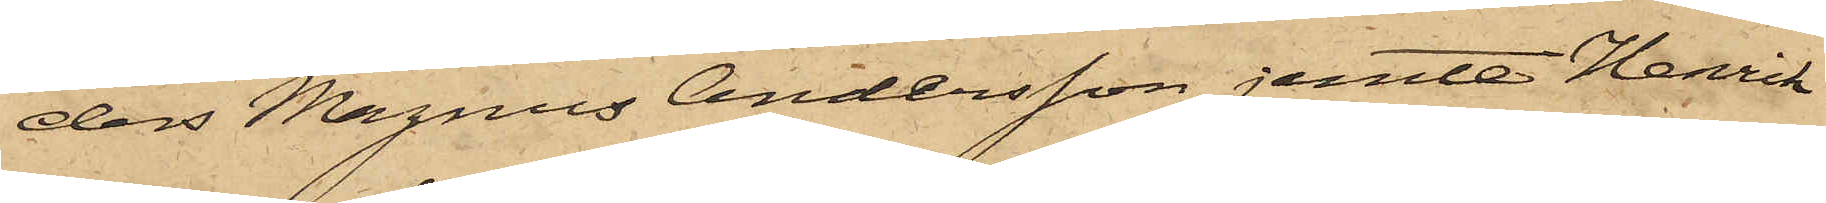ders Magnus Andersson jemte Henrik
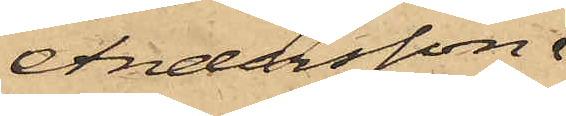Andersson.
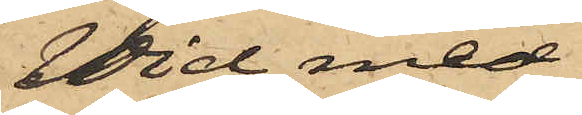Vid med
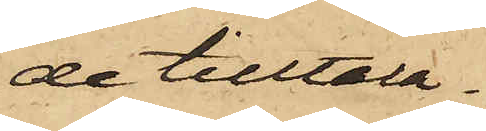de tilltala¬
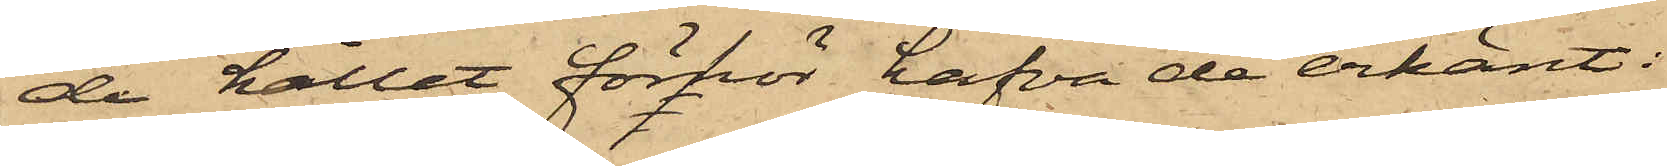de hållet förhör hafva de erkänt:
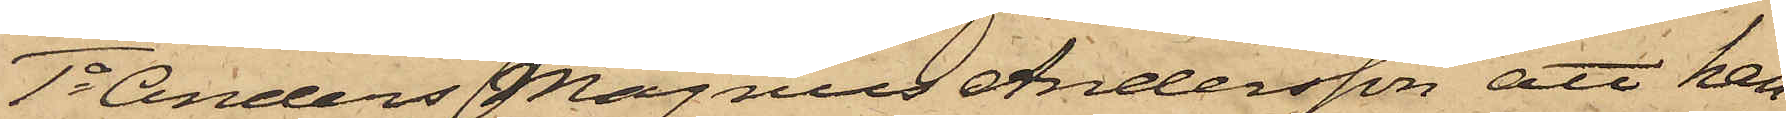1o Anders Magnus Andersson att han
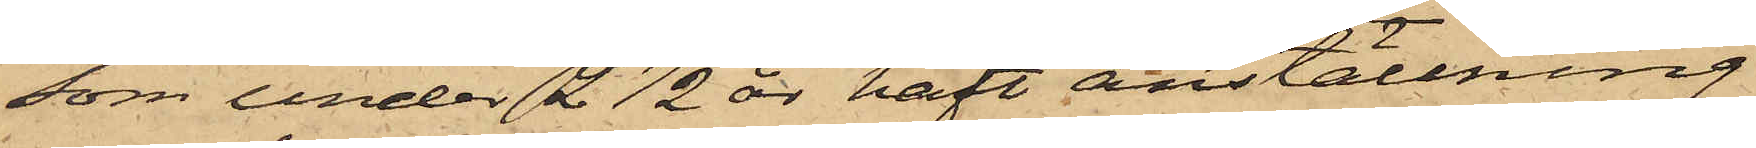som under 2 1/2 år haft anställning
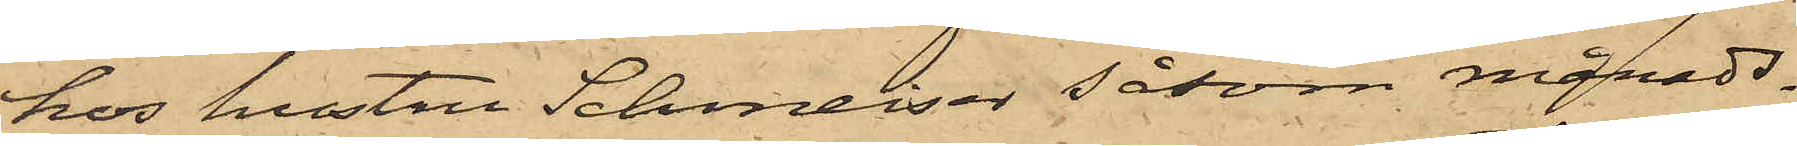hos hustru Schmeiser såsom månads¬
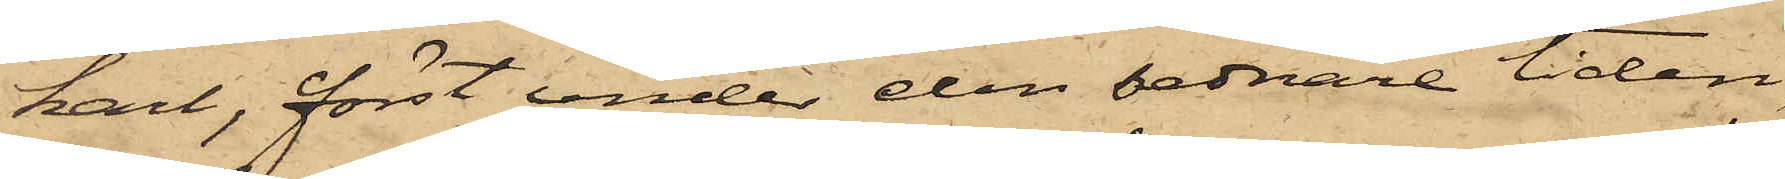karl, först under den sednare tiden,
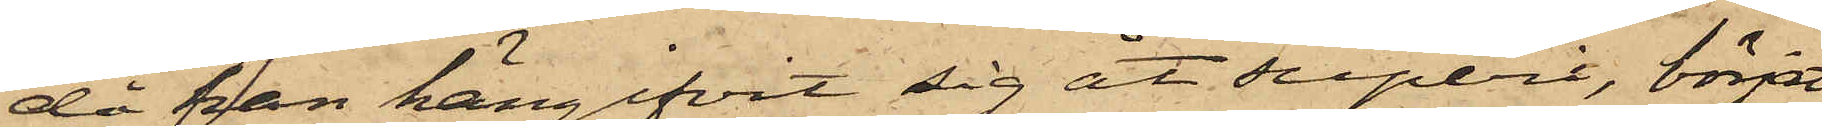då han hängifvit sig åt superi, börjat
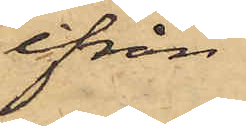ifrån
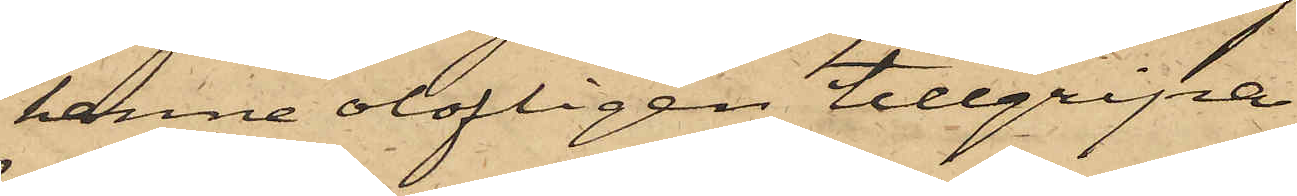henne olofligen tillgripa
